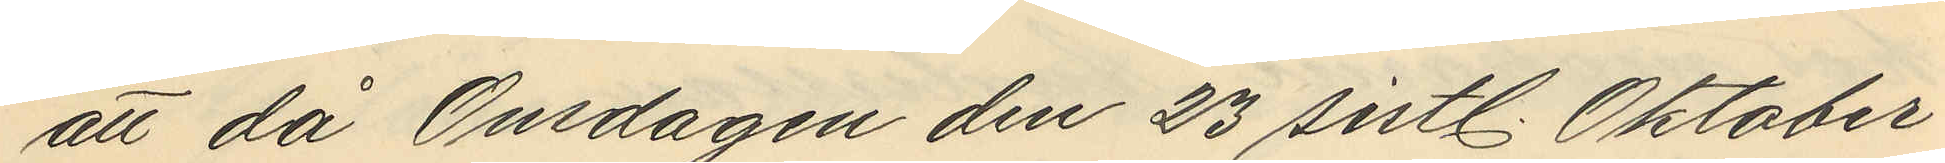att då Onsdagen den 23 sistl. Oktober
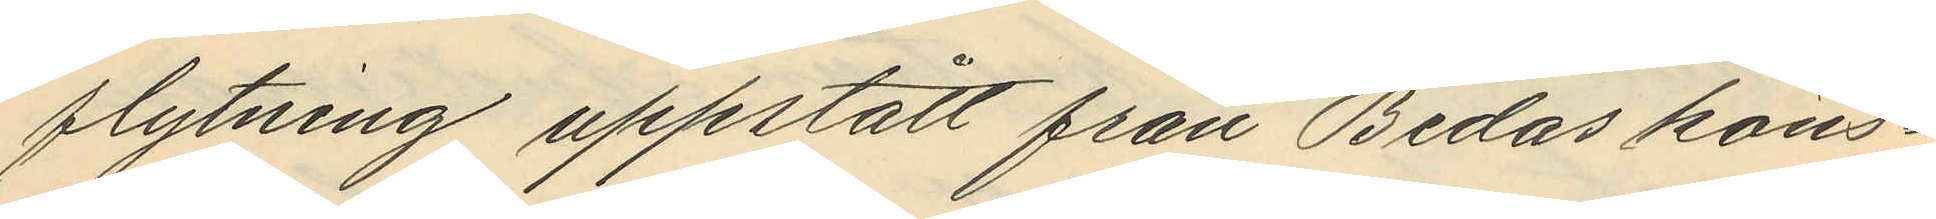flytning uppstått från Bedas köns¬
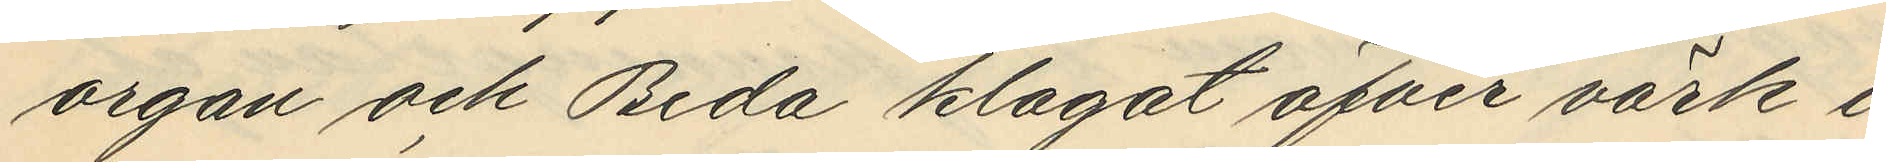organ och Beda klagat öfver värk i
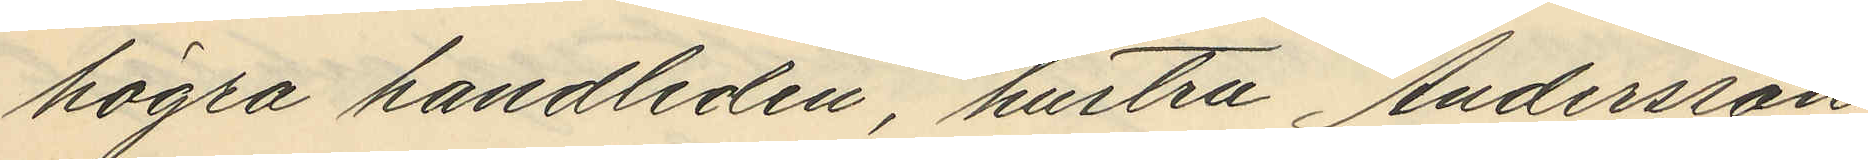högra handleden hustru Andersson
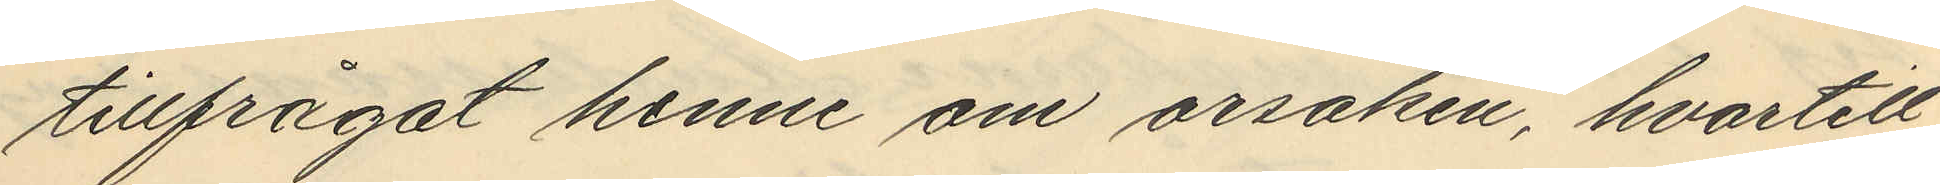tillfrågat henne om orsaken, hvartill
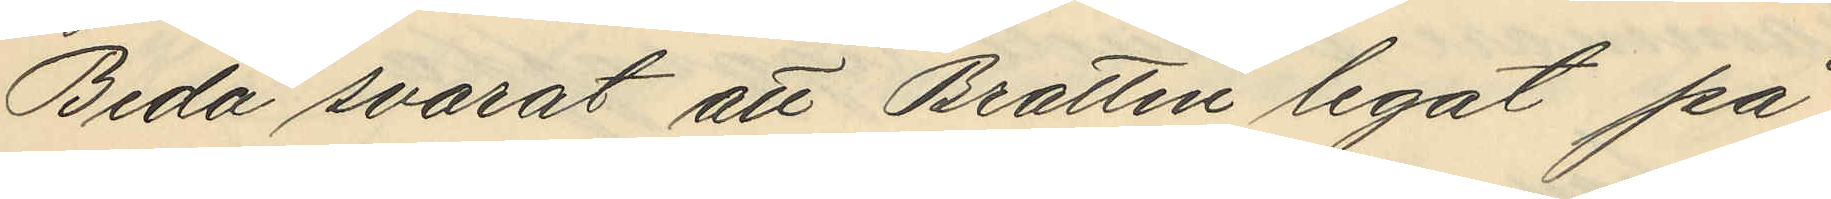Beda svarat att Brattén legat på
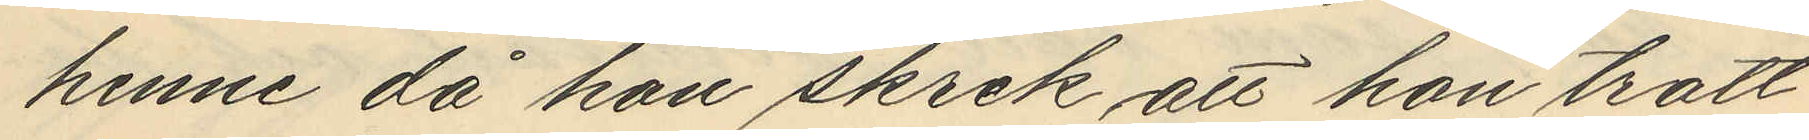henne då hon skrek att hon trott
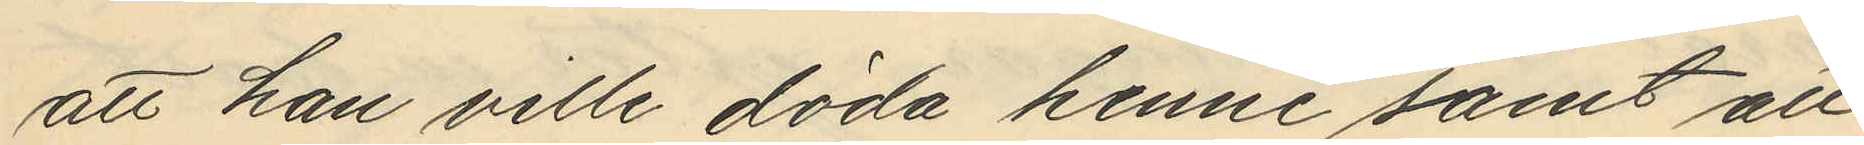att han ville döda henne samt att
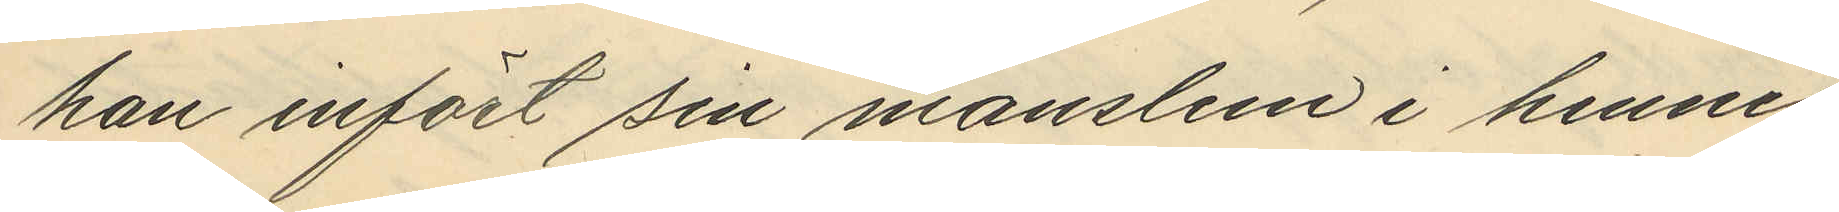han infört sin manslem i hennes
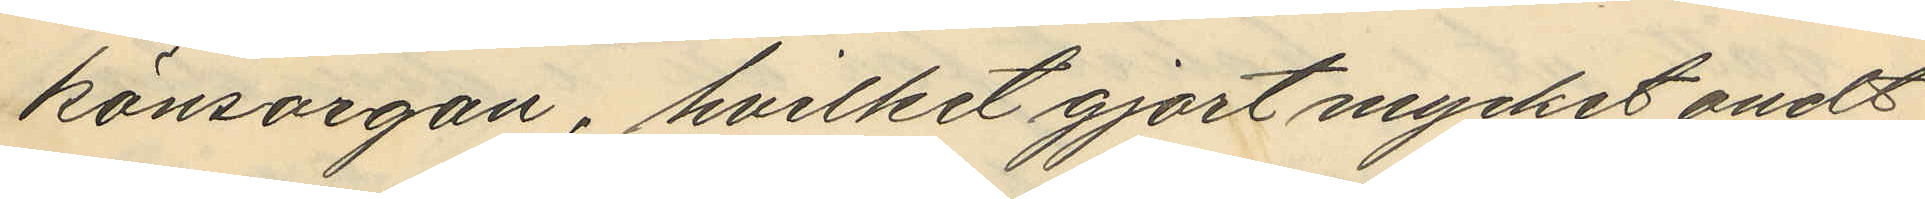könsorgan, hvilket gjort mycket ondt
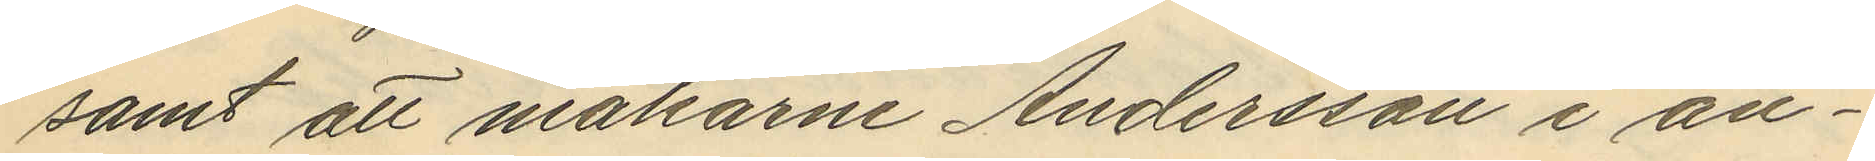samt att makarne Andersson i an¬
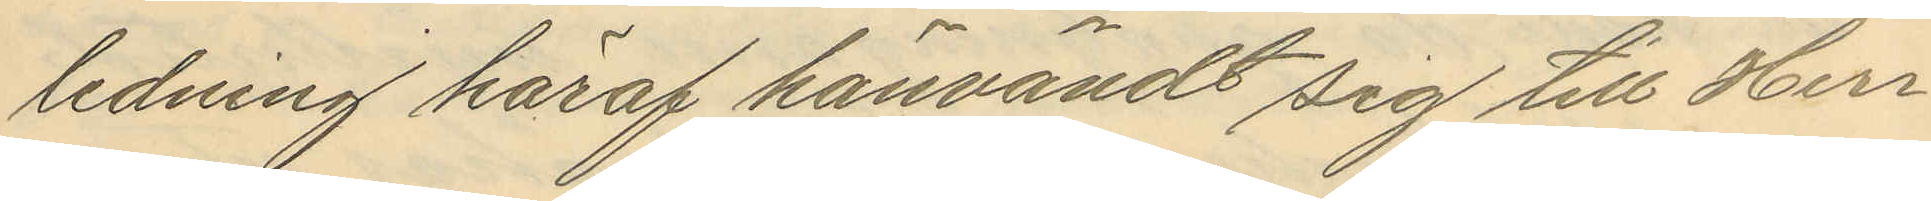ledning häraf hänvändt sig till Herr¬
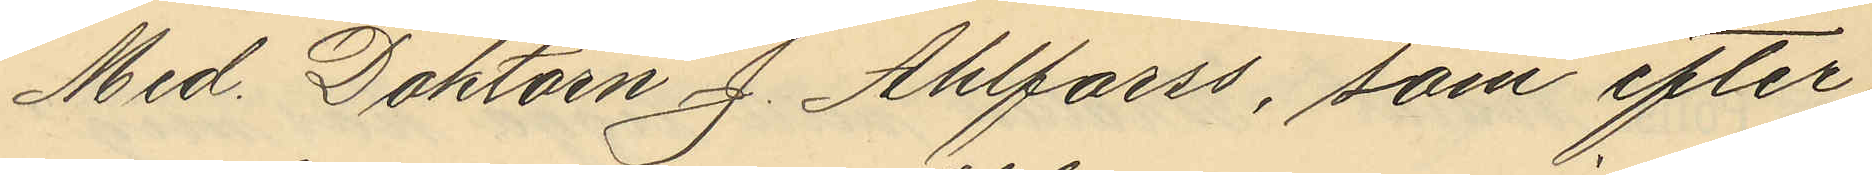Med. Doktorn J. Ahlforss, som efter
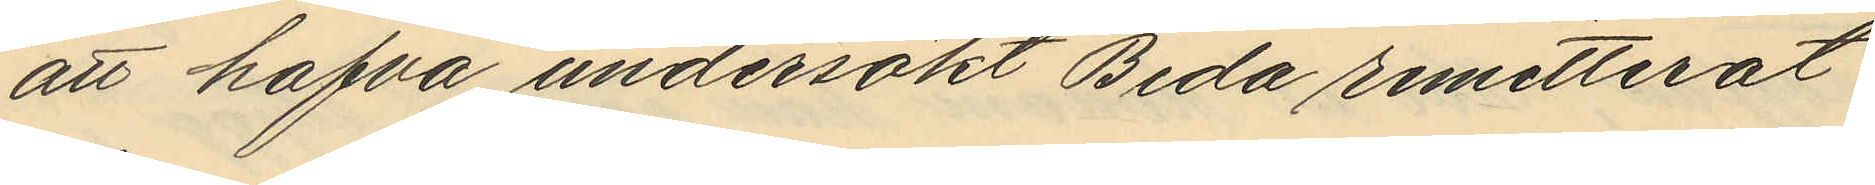att hafva undersökt Beda remitterat
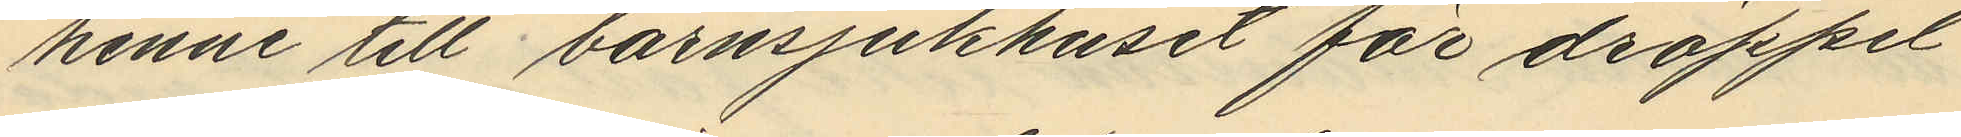henne till barnsjukhuset för dröppel
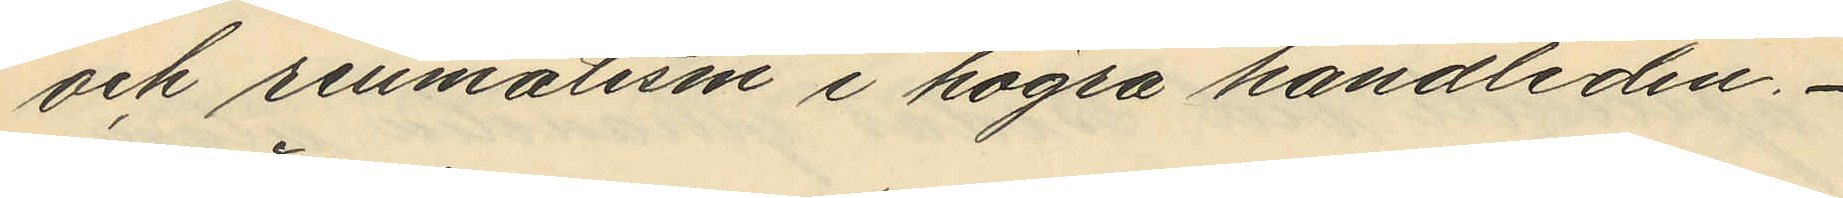och reumatism i högra handleden.
